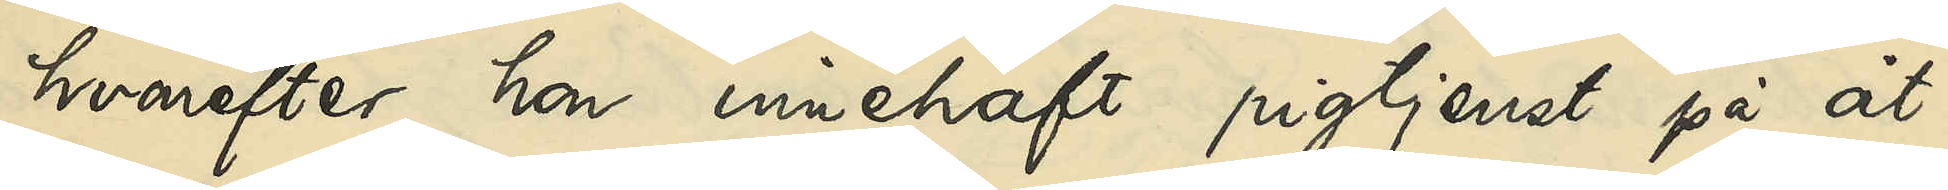hvarefter hon innehaft pigtjenst på åt¬
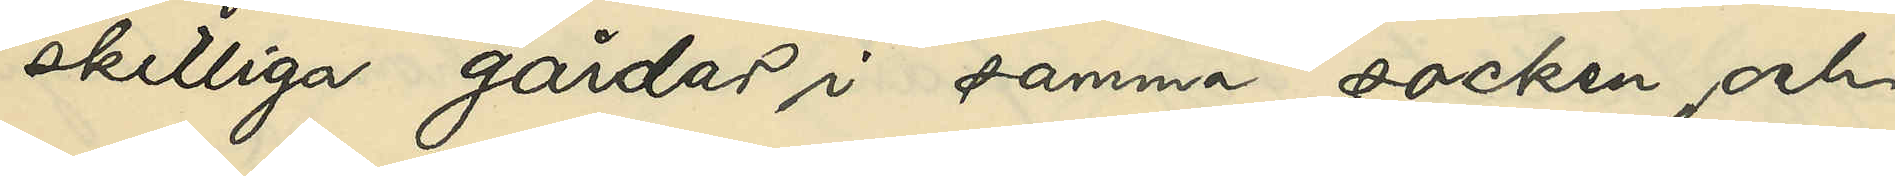skilliga gårdar i samma socken, och
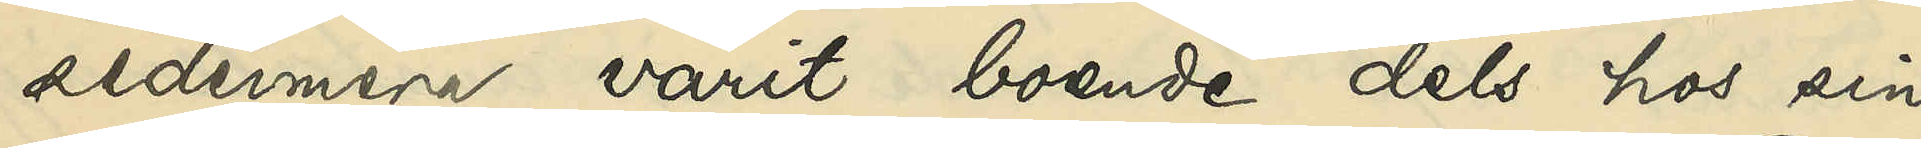sedermera varit boende dels hos sin
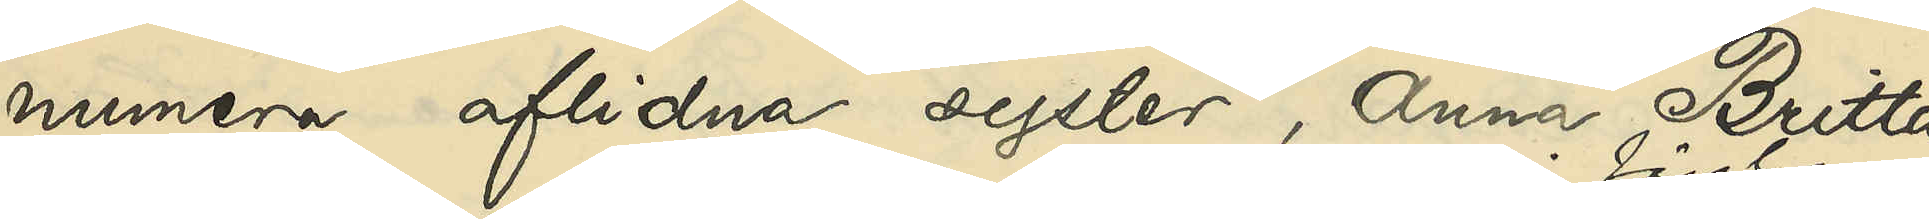numera aflidna syster, Anna Britta
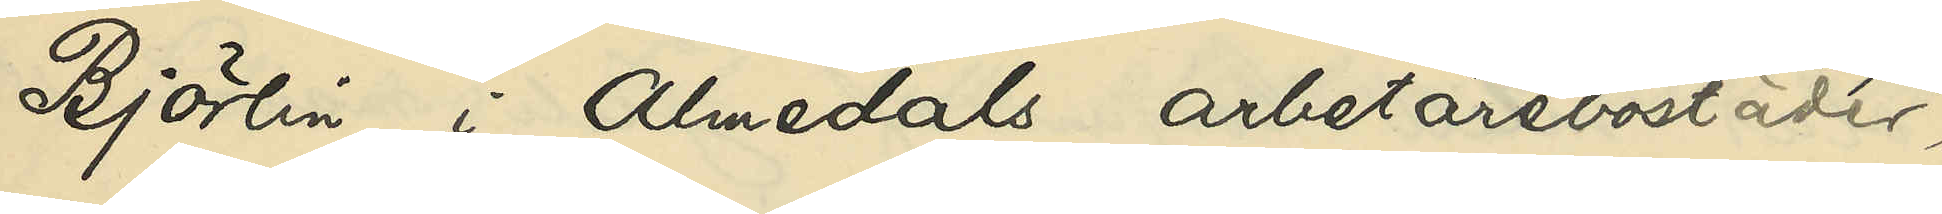Björlin i Almedals arbetarebostäder 
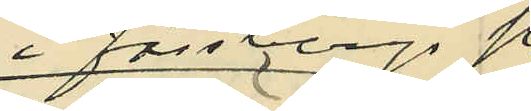i Fässbergs sn,
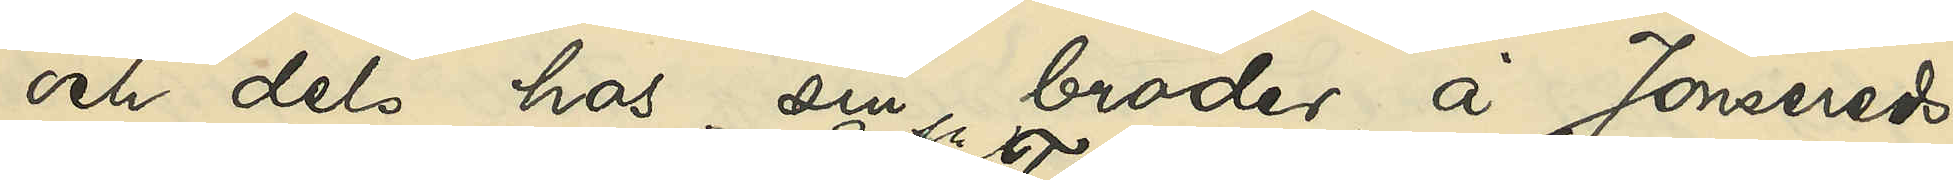och dels hos sin broder, å Jonsereds
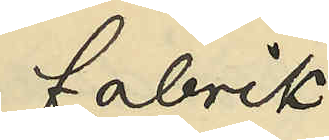fabrik
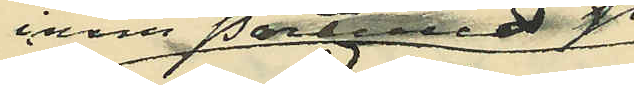inom Partilleds sn
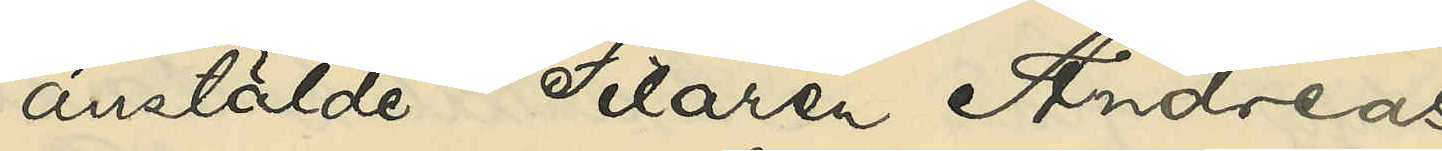anstälde Filaren Andreas
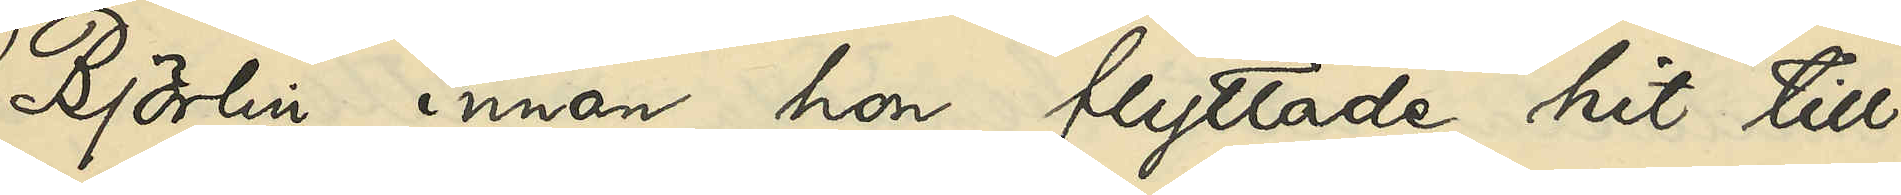Björlin, innan hon flyttade hit till
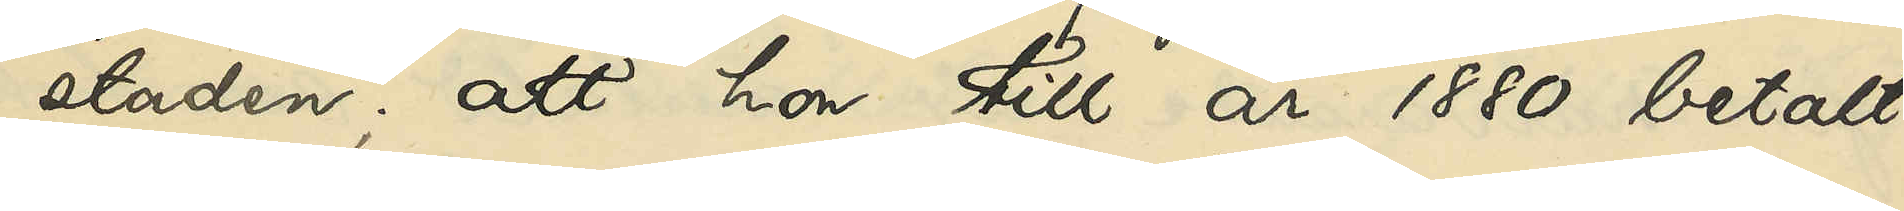staden; att hon till år 1880 betalt
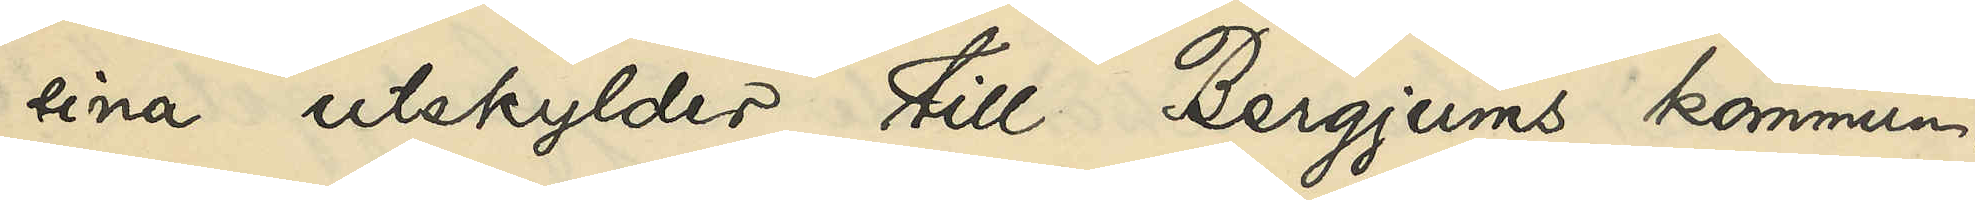sina utskylder till Bergjums kommun;
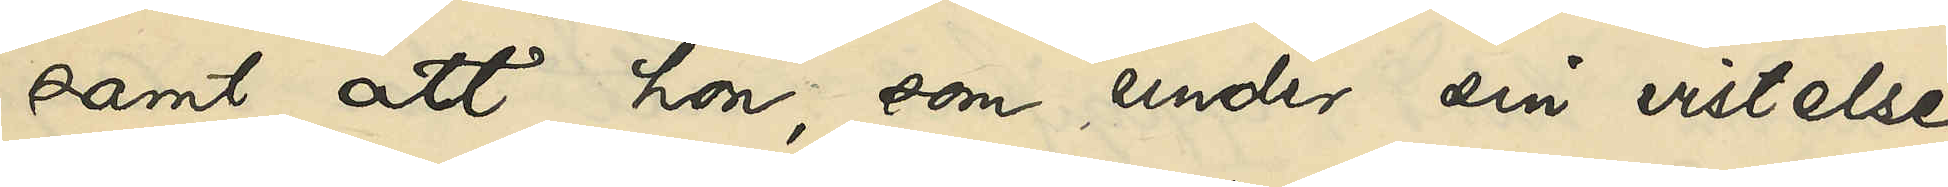samt att hon, som under sin vistelse
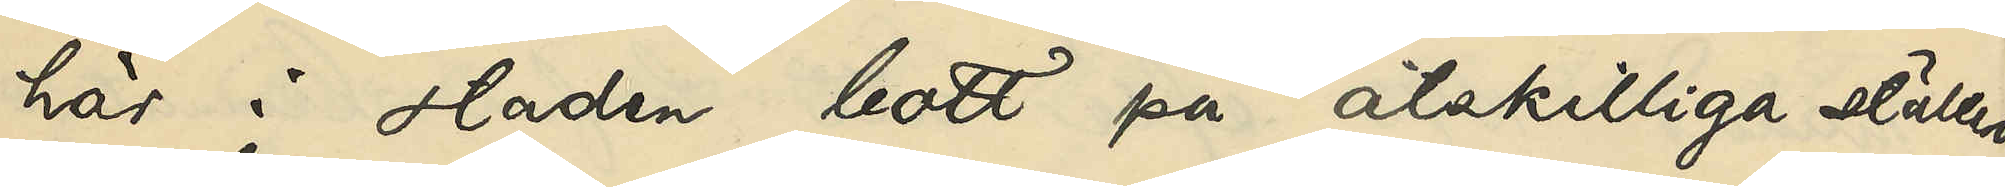här i staden bott på åtskilliga ställen
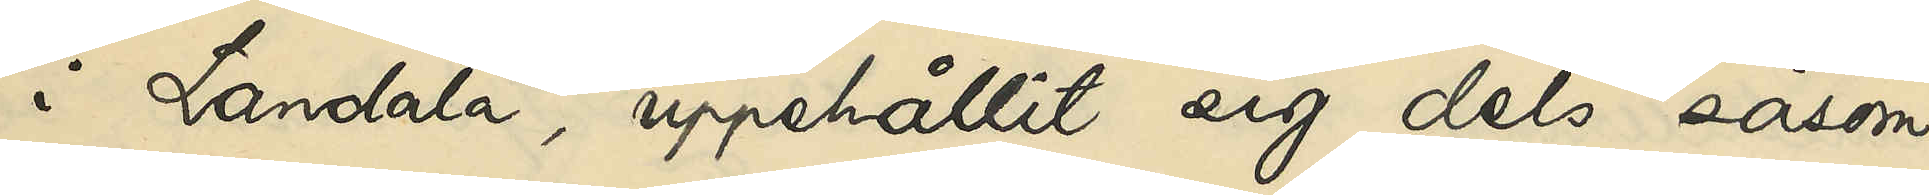i Landala, uppehållit sig dels såsom
